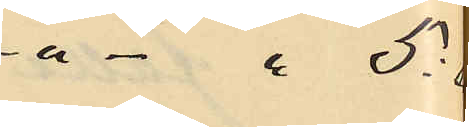" - " 5:
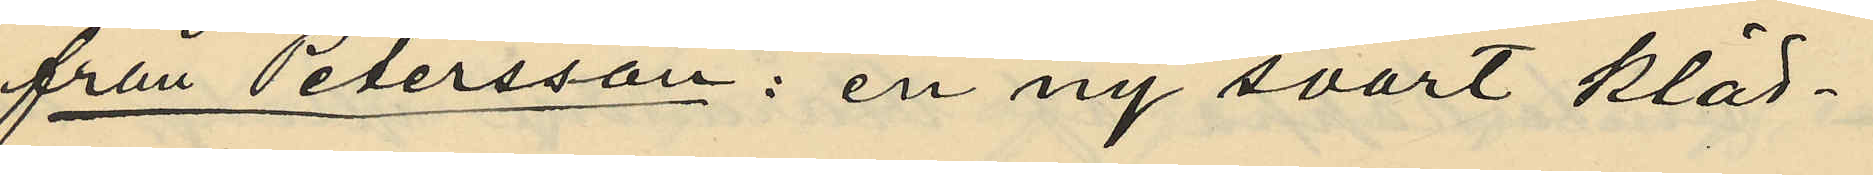från Petersson: en ny svart kläd¬
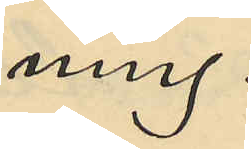ning.
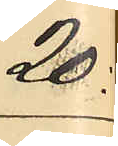20:
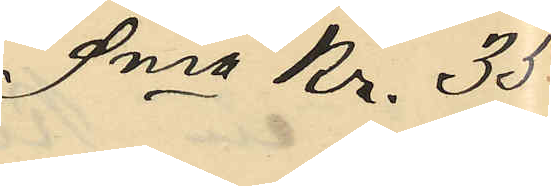Sma Kr. 35
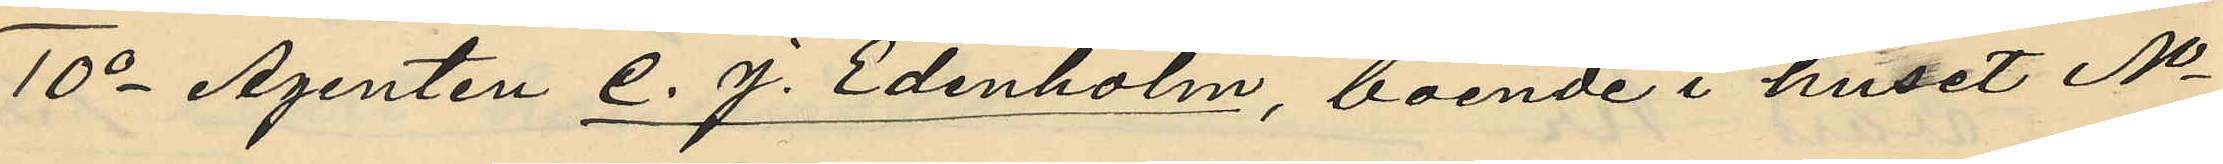10o Agenten C. J. Edenholm, boende i huset No
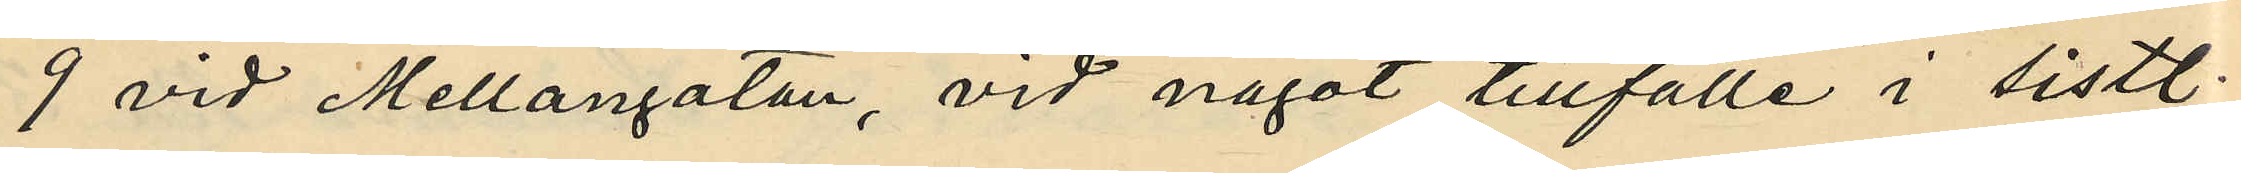9 vid Mellangatan, vid något tillfälle i sistl.
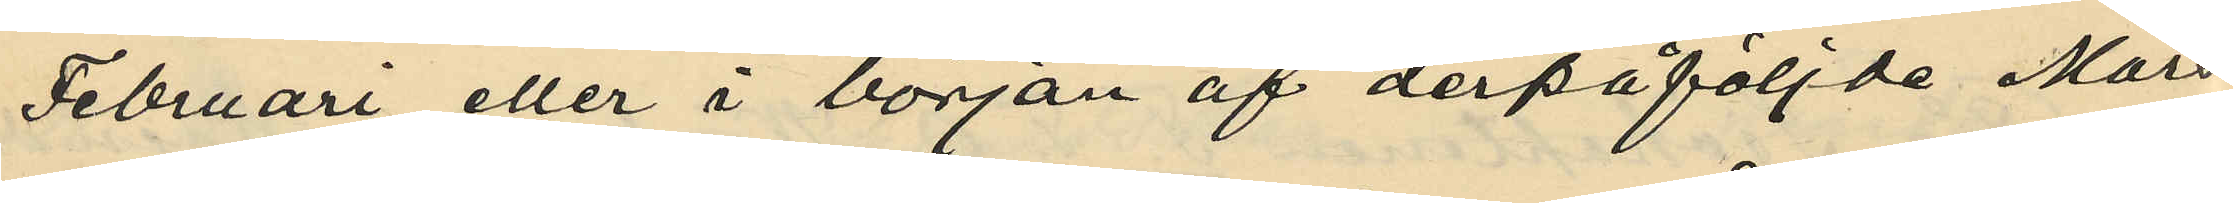Februari eller i början af derpåföljde Mars
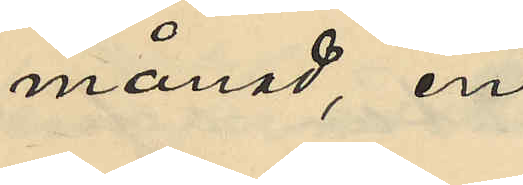månad, en
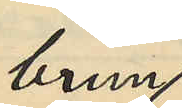brun
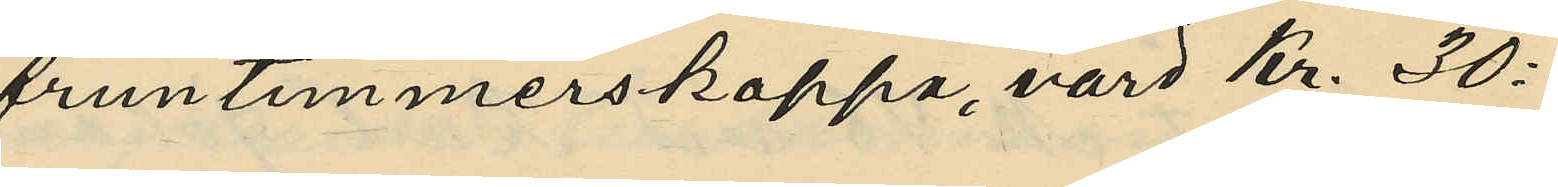fruntimmerskappa, värd Kr. 30:
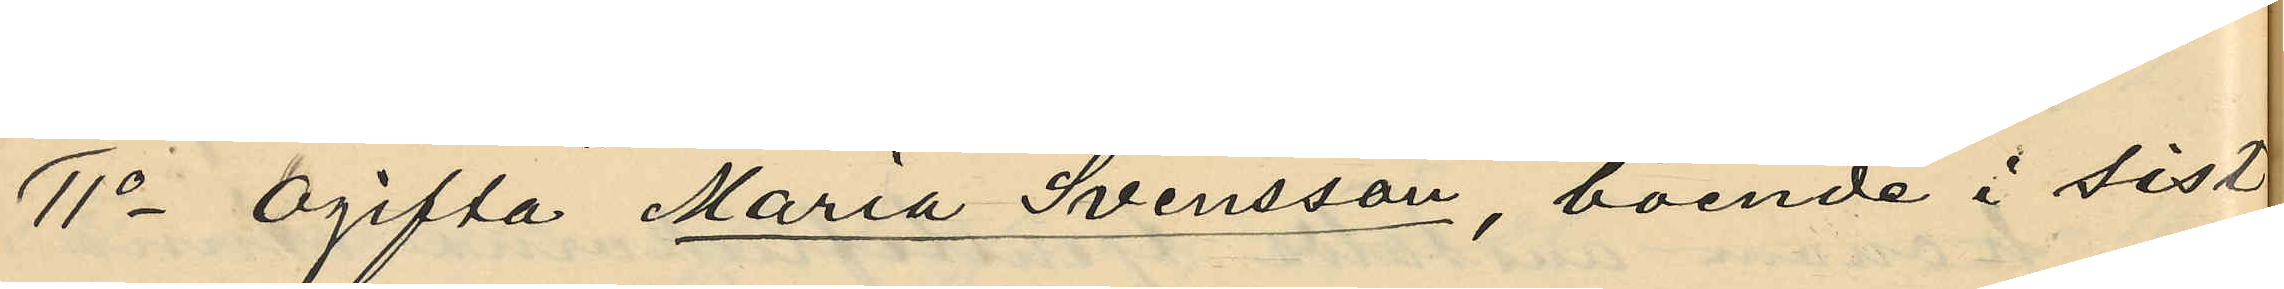1o Ogifta Maria Svensson, boende i sist.¬
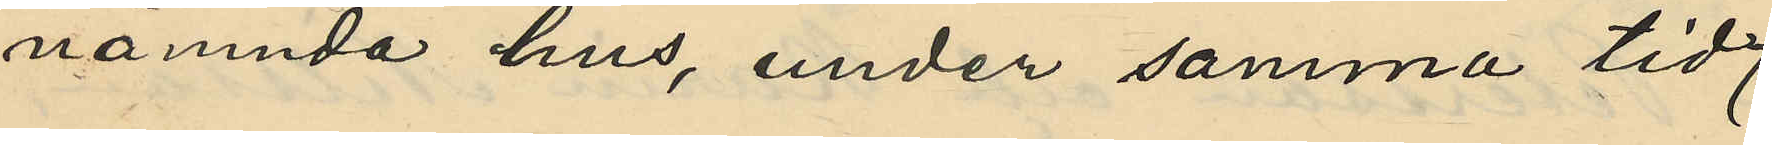nämnda hus, under samma tid
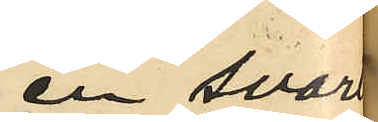en svart
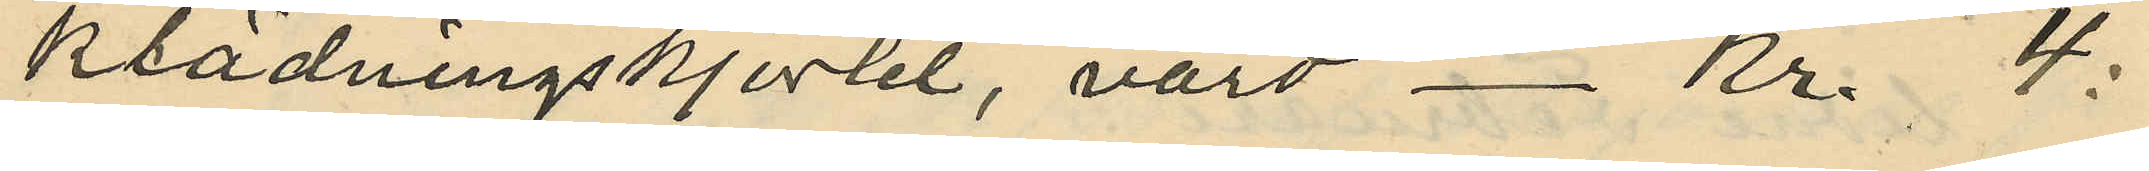klädningskjortel, värd Kr. 4:
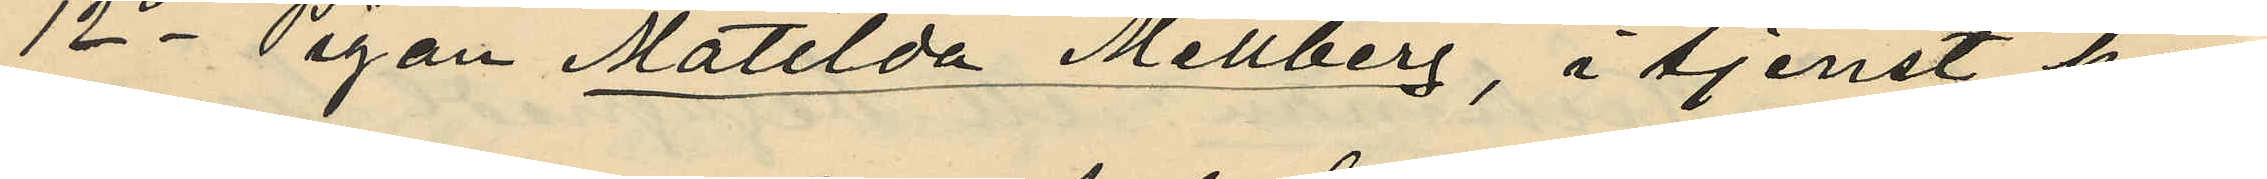12o Pigan Matilda Mellberg, i tjenst hos
